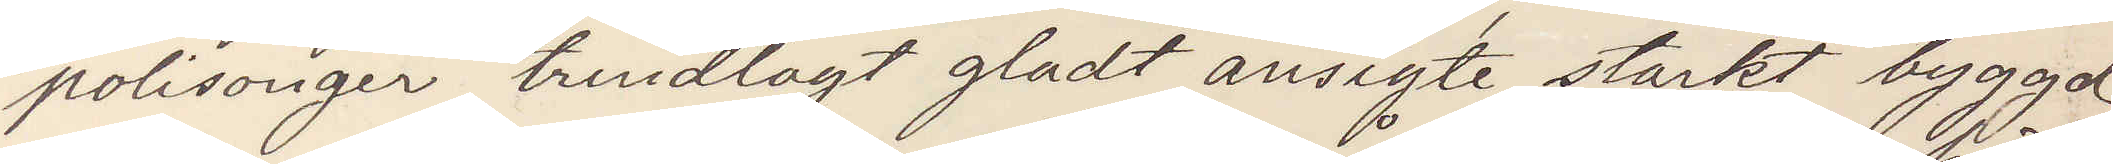polisonger trindlagt ansigte starkt byggd
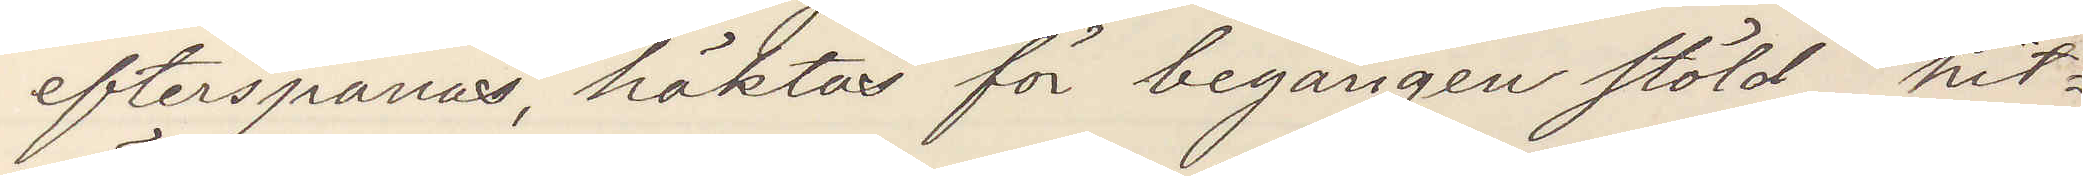efterspanas, häktas för begången stöld hit¬
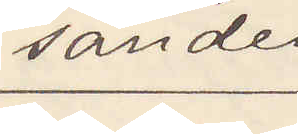sändes 
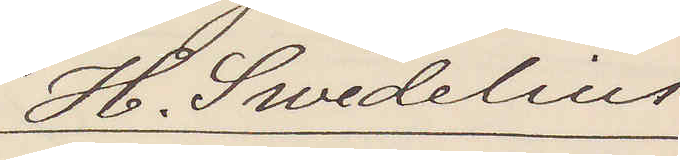H. Swedelius
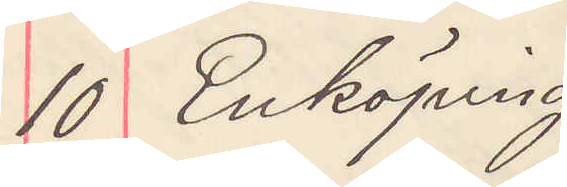10 Enköping
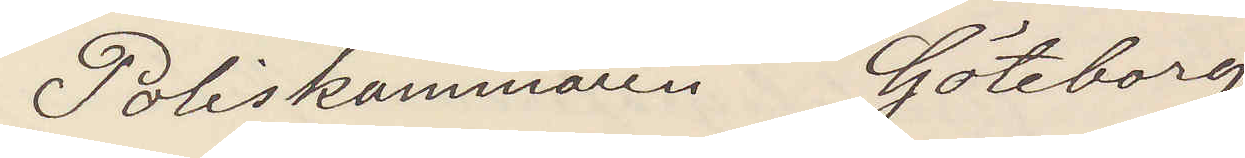Poliskammaren Göteborg
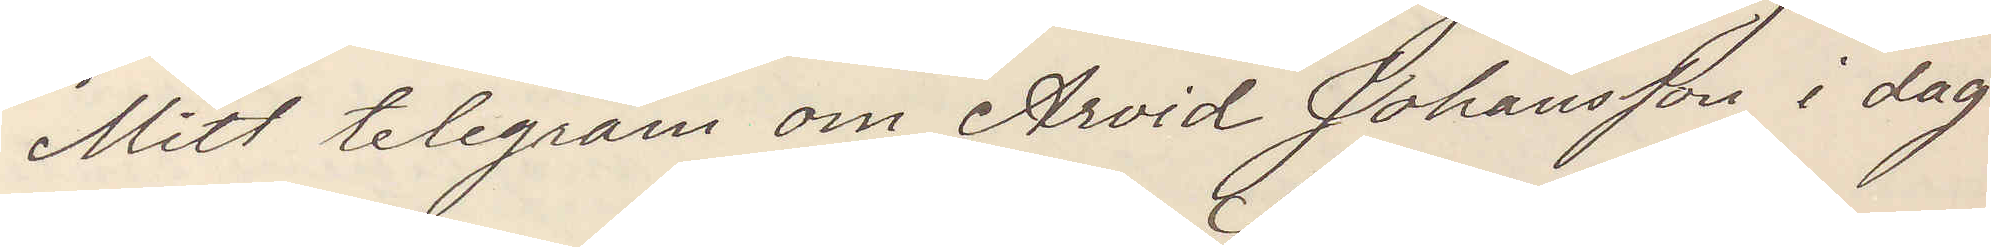Mitt telegram om Arvid Johansson i dag
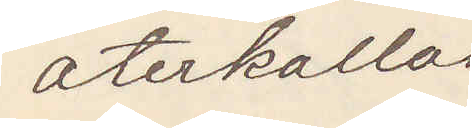återkallas
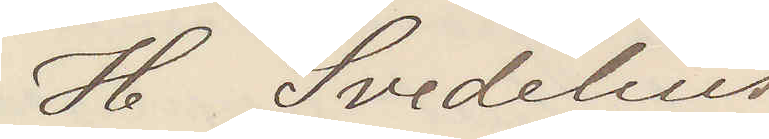H Svedelius
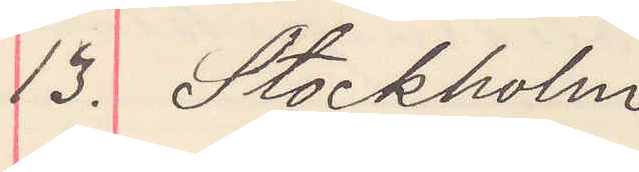13. Stockholm
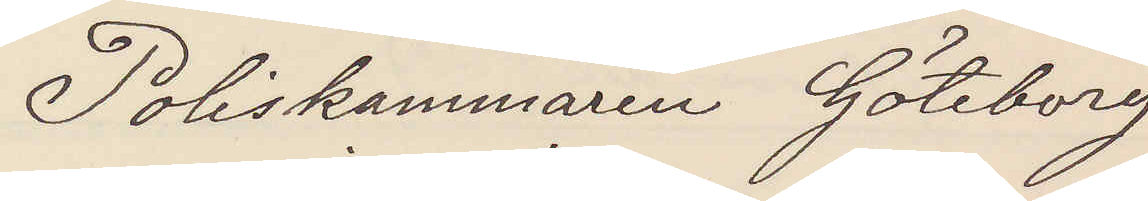Poliskammaren Göteborg
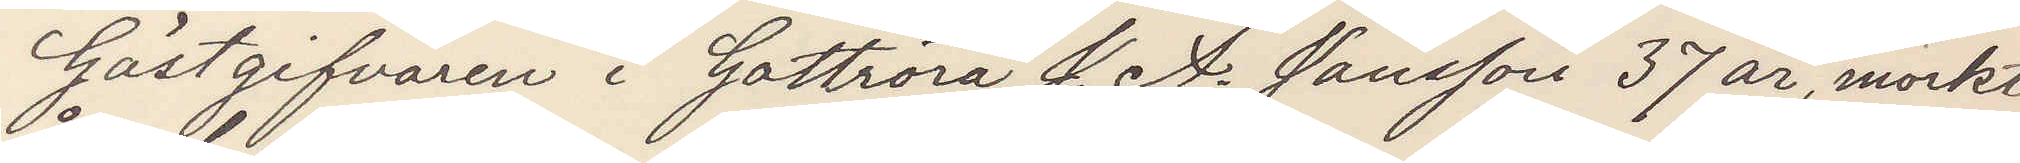Gästgifvaren i Gottröra J. A. Jansson 37 år, mörkt
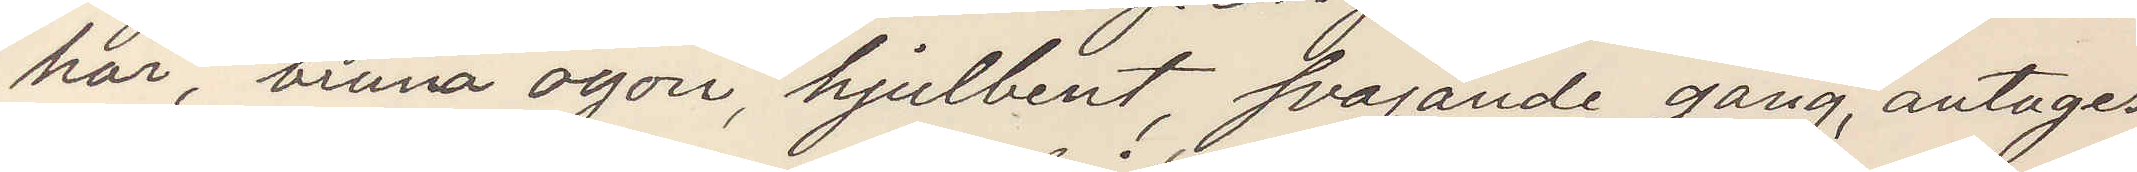hår, bruna ögon, hjulbent, svajande gång, antages
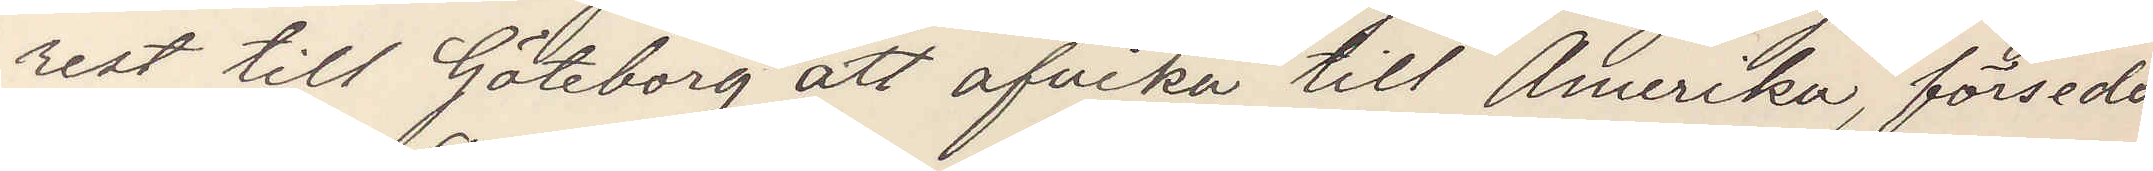rest till Göteborg att afvika till Amerika, försedd
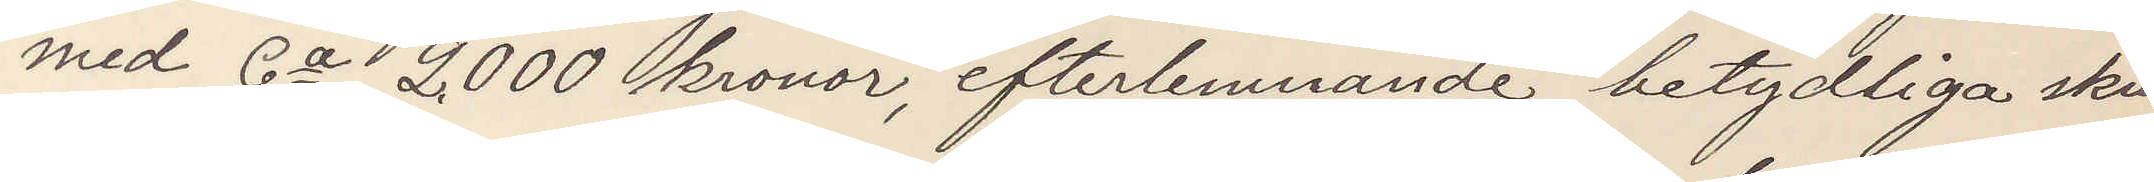med Ca 2000 kronor, efterlemnande betydliga skul¬
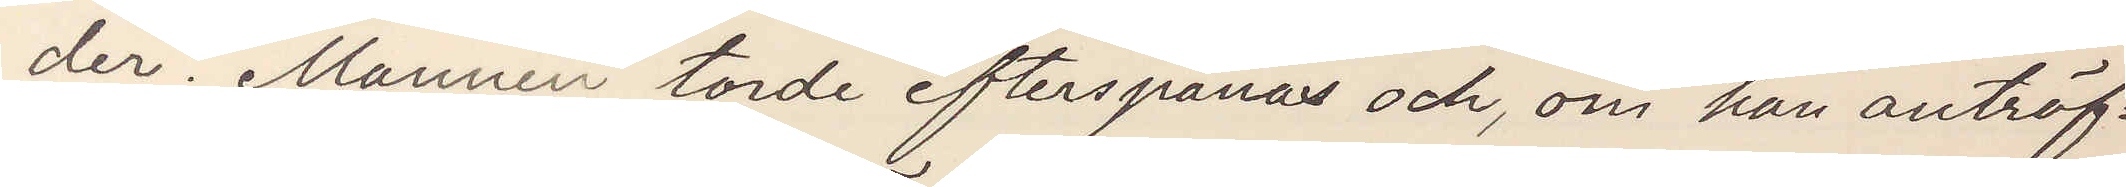der. Mannen torde efterspanas och, om han anträf¬
